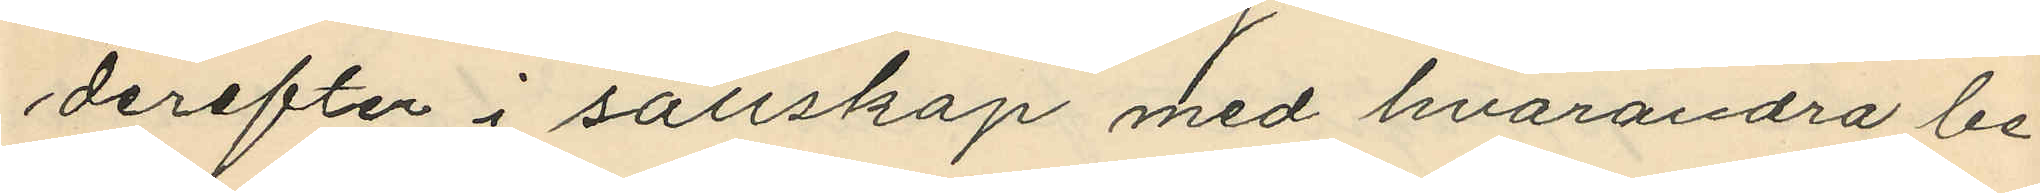derefter i sällskap med hvarandra be¬
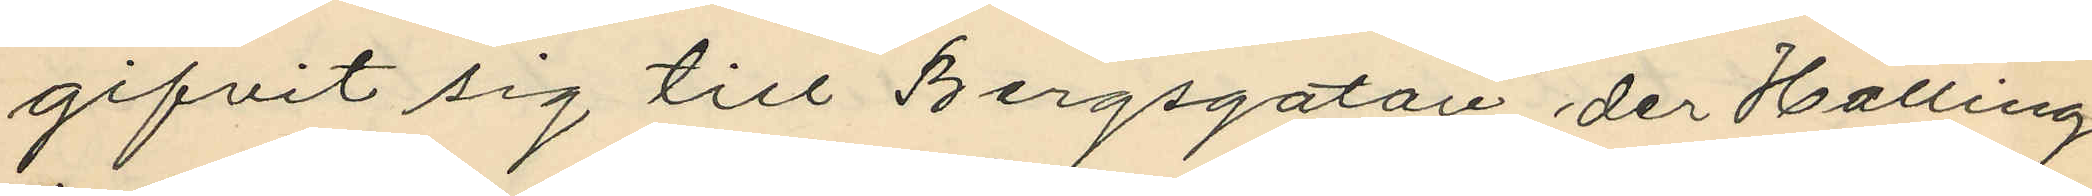gifvit sig till Bergsgatan der Halling
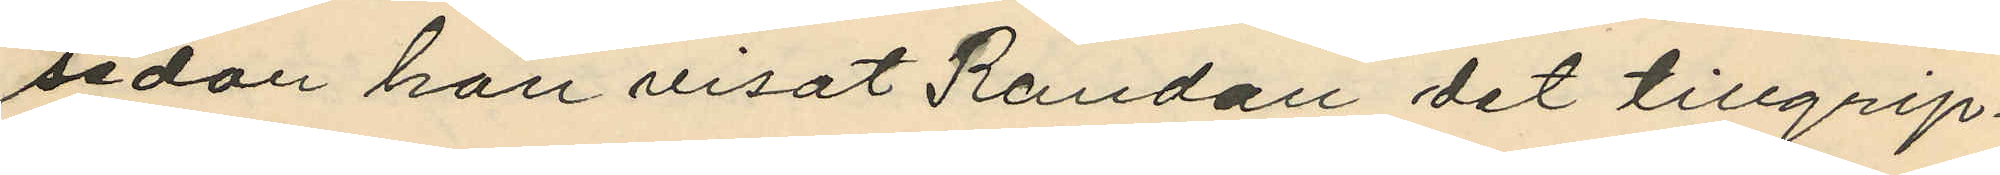sedan han visat Randau det tillgrip¬
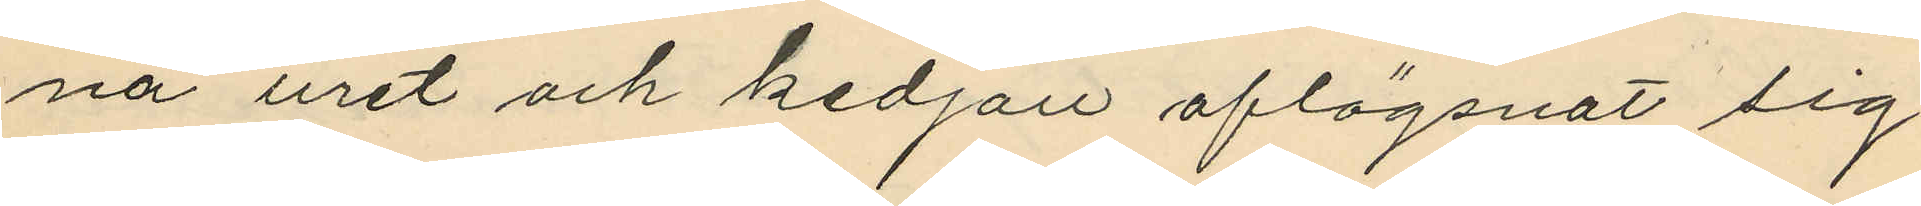na uret och kedjan aflägsnat sig;
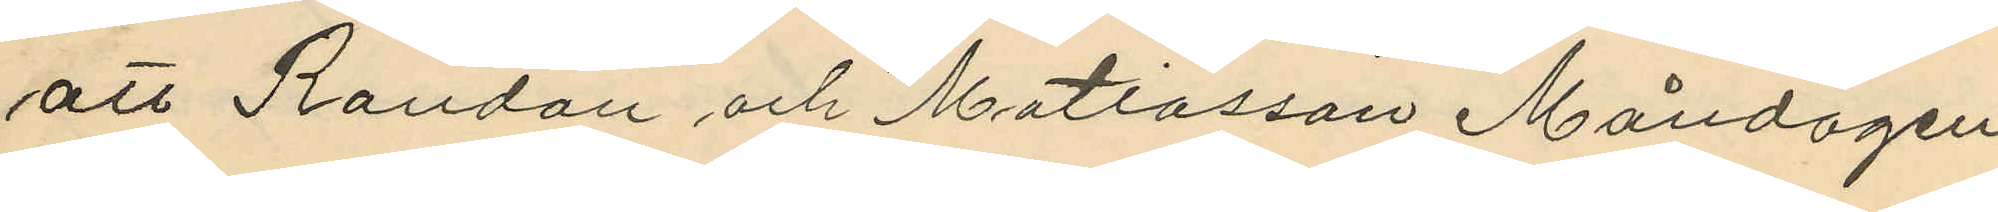att Randau och Matiasson Måndagen
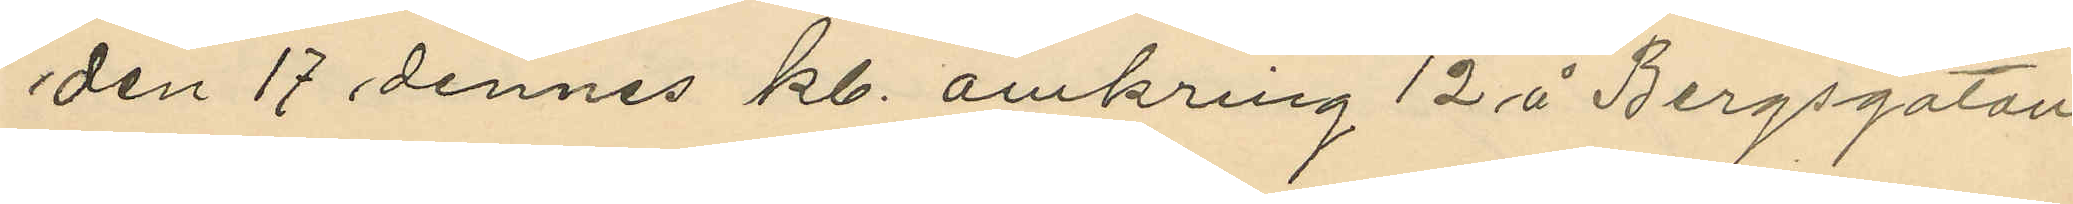den 17 dennes kl. omkring 12 å Bergsgatan
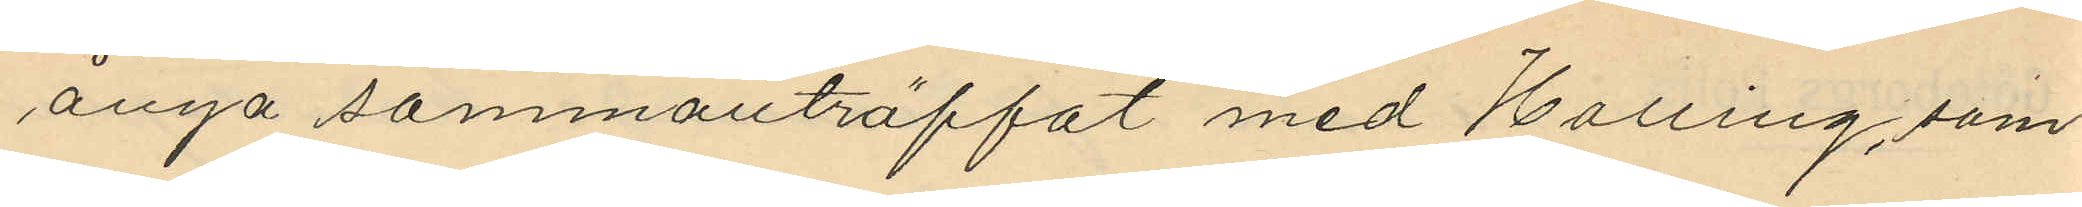ånyo sammanträffat med Halling, som
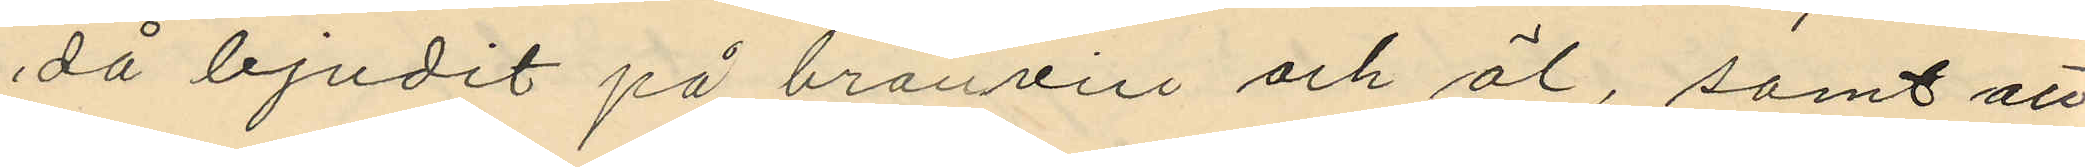då bjudit på branvin och öl, samt att
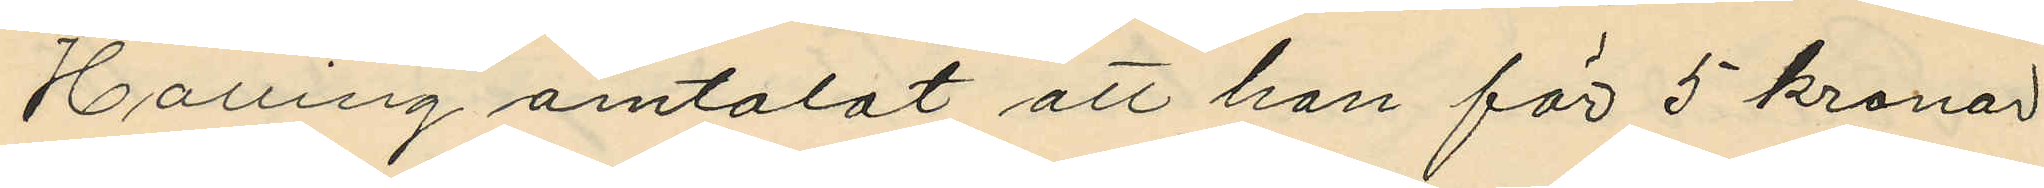Halling omtalat att han för 5 kronor
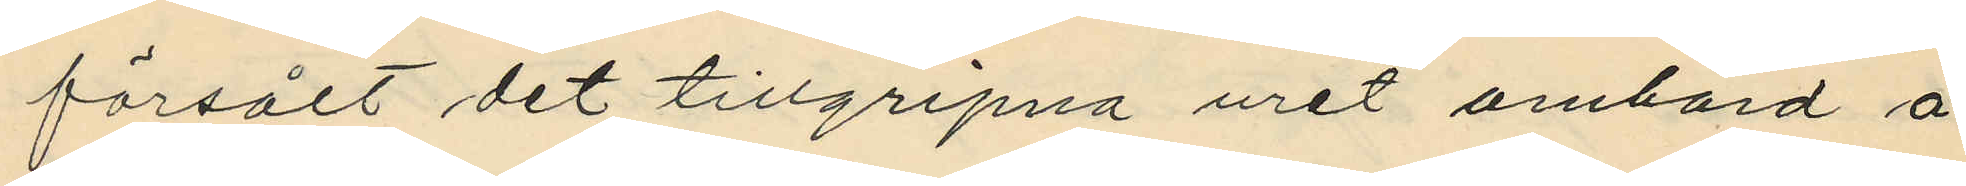försålt det tillgripna uret ombord å
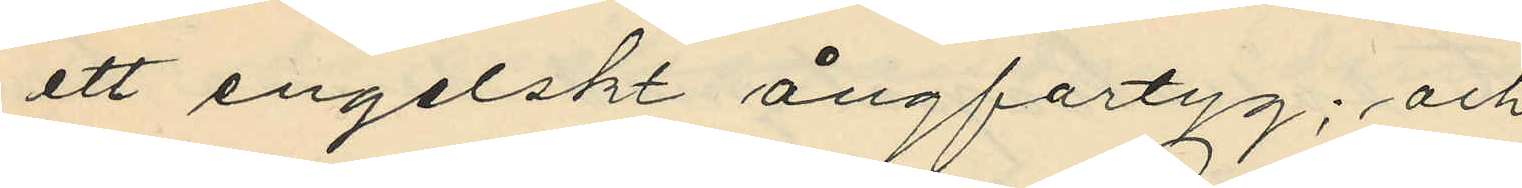ett engelskt ångfartyg; och
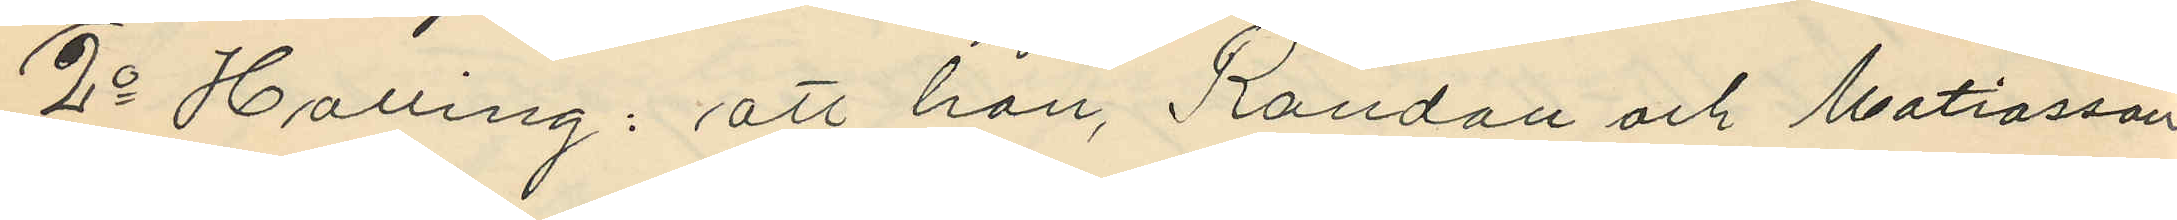2o Halling: att han, Randau och Matiasson
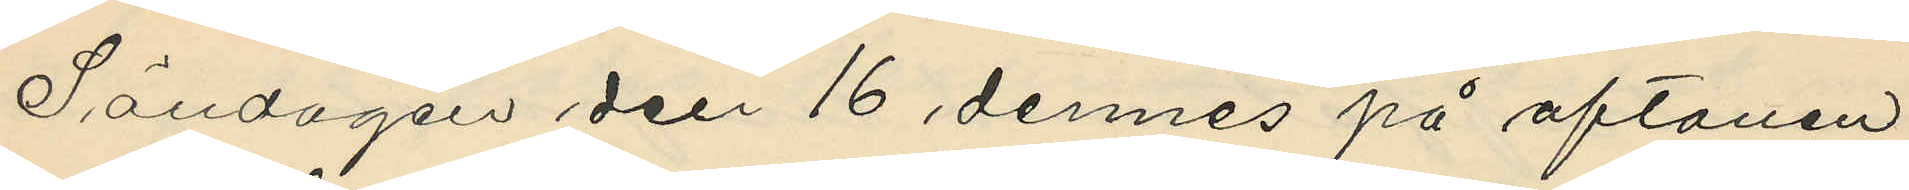Söndagen den 16 dennes på aftonen
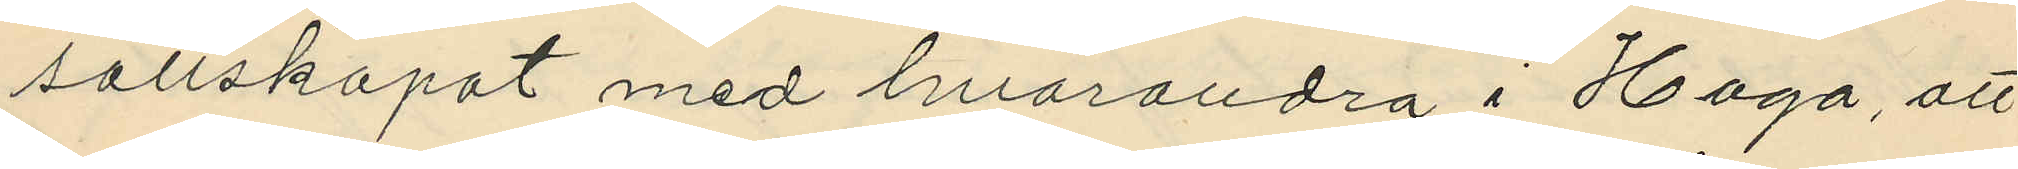sällskapat med hvarandra i Haga, att
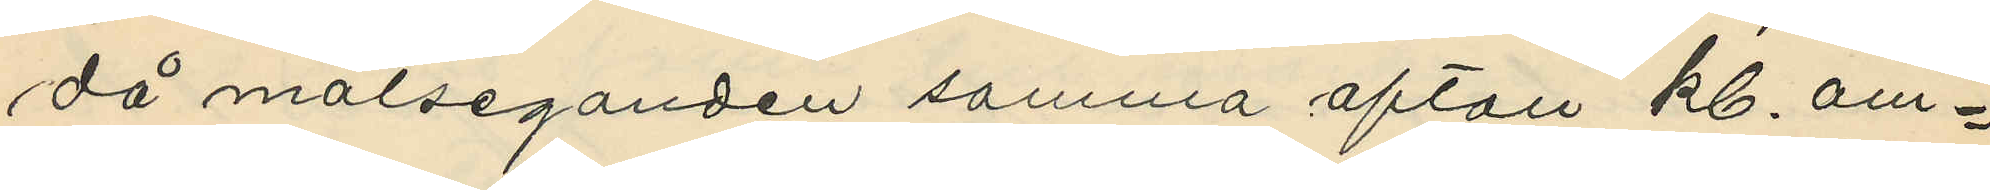då målseganden samma afton kl. om¬
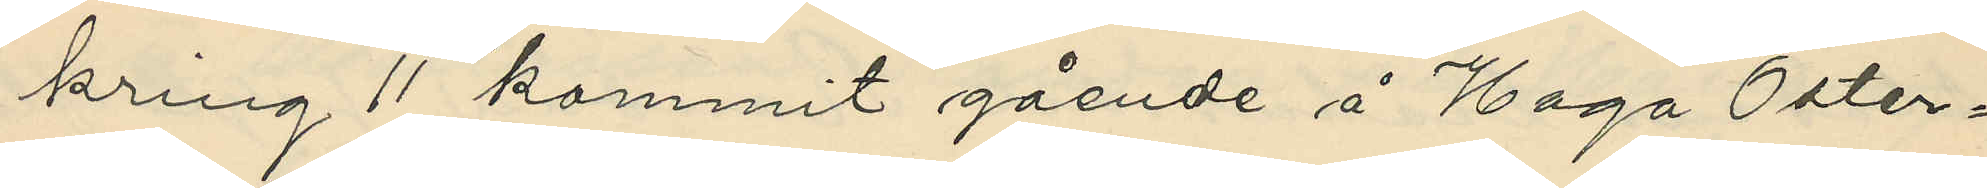kring 11 kommit gående å Haga Öster¬
